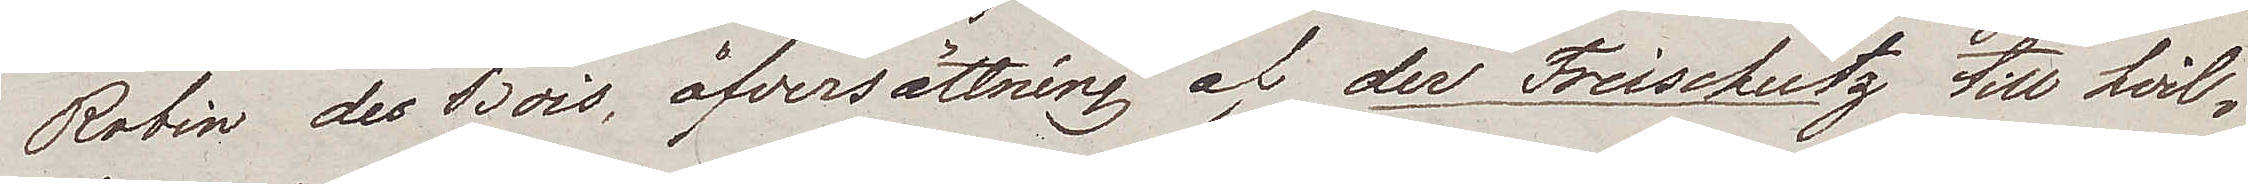Robin des Bois, öfversättning af der Freischutz till hvil¬
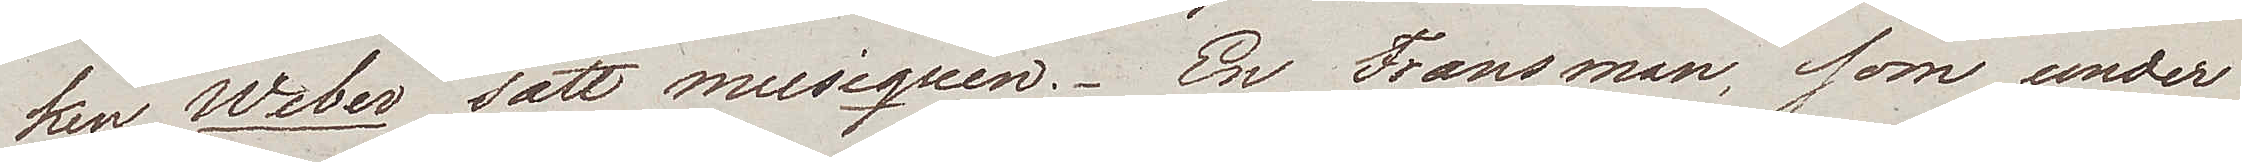ken Weber satt musiquen. En Fransman, som under
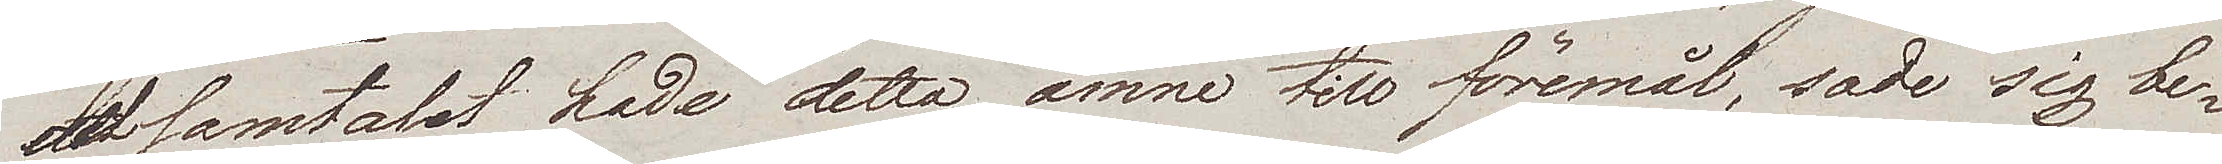det samtalet hade detta ämne till föremål, sade sig be¬
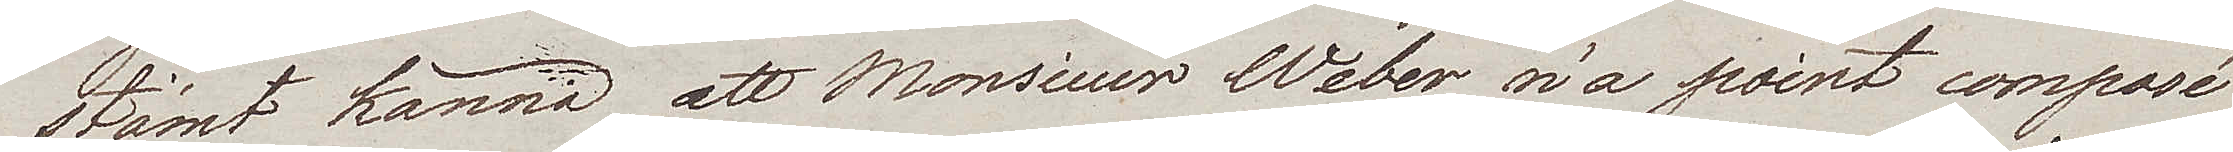stämt känna att Monsieur Weber n'a point composé
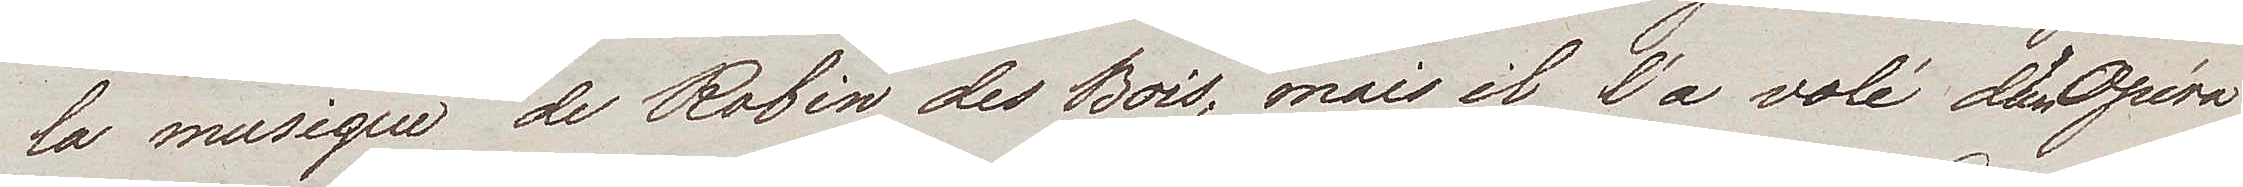la musique de Robin des Bois, mais il l'a volé d'un Opéra
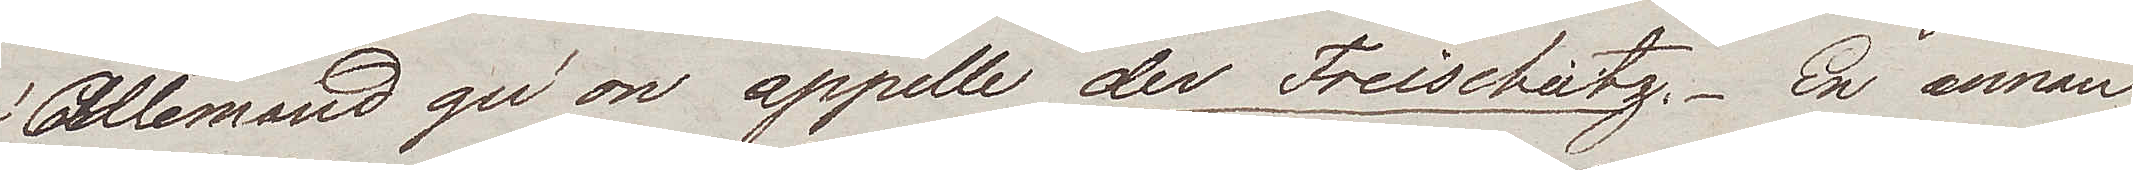Allemand qu'on appelle der Freischutz. En annan
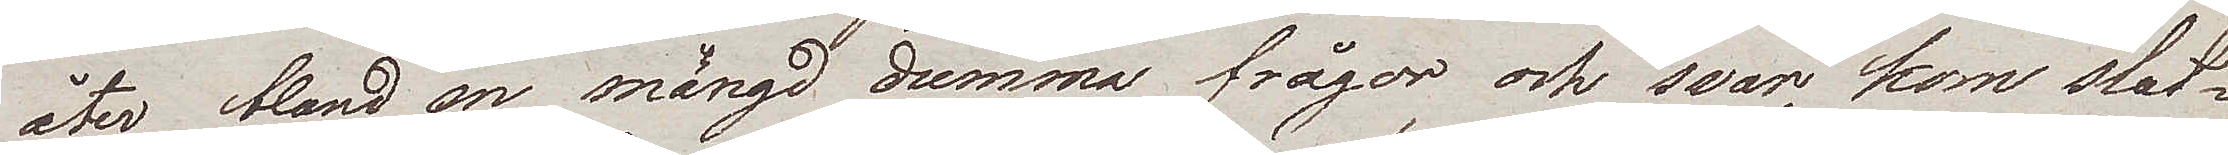åter, bland en mängd dumma frågor och svar, kom slut¬
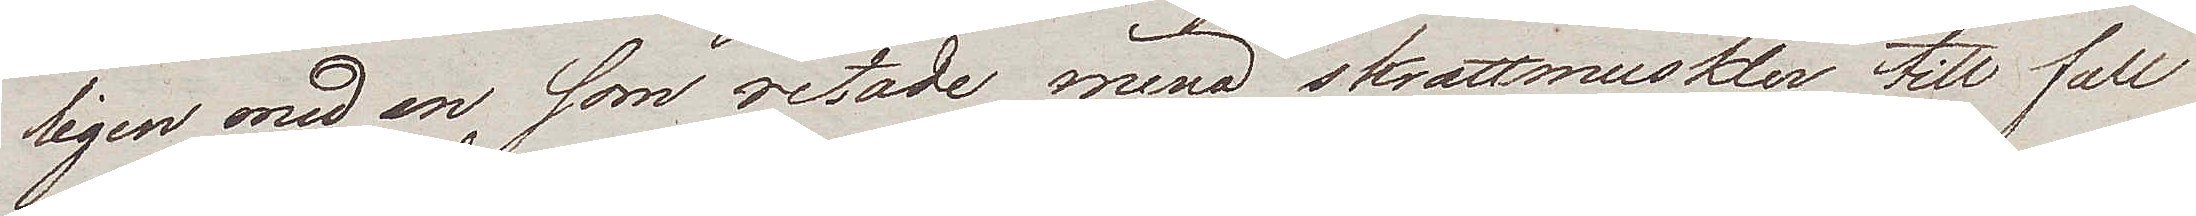ligen med en som retade mina skrattmuskler till full
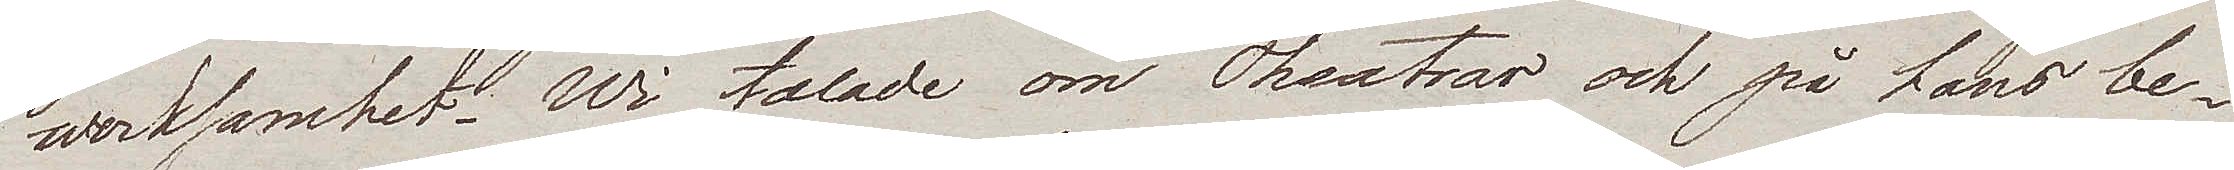werksamhet. Wi talade om Theatrar och på hans be¬
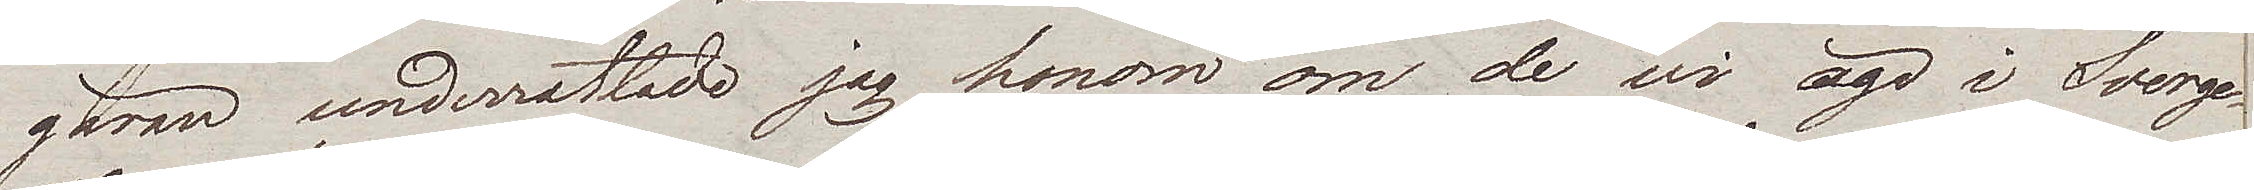gäran underrättade jag honom om de wi äga i Sverge.
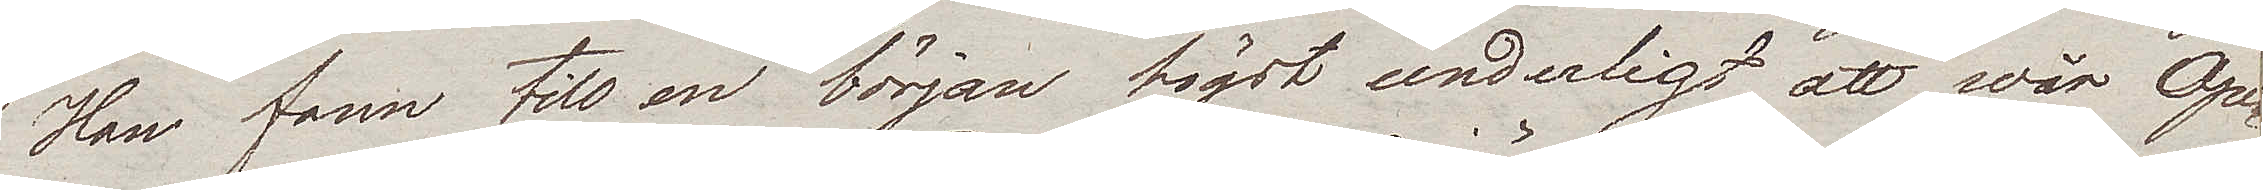Han fann till en början högst underligt att wår Ope¬
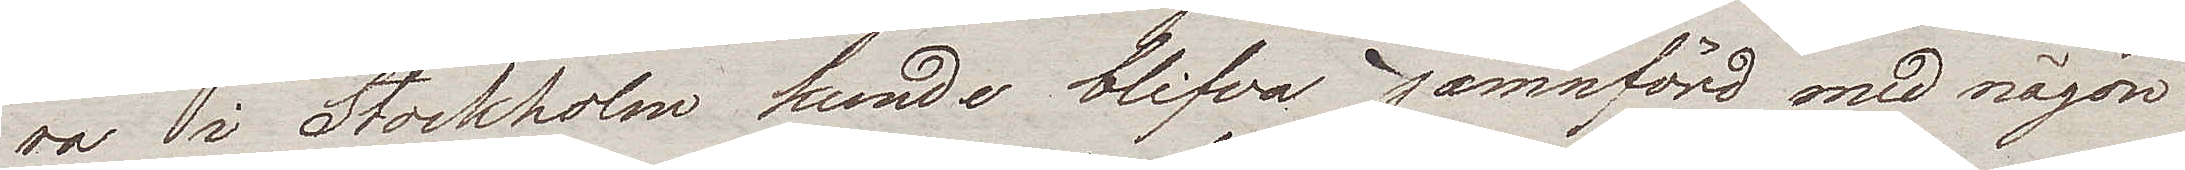ra i Stockholm kunde blifva jämnförd med någon
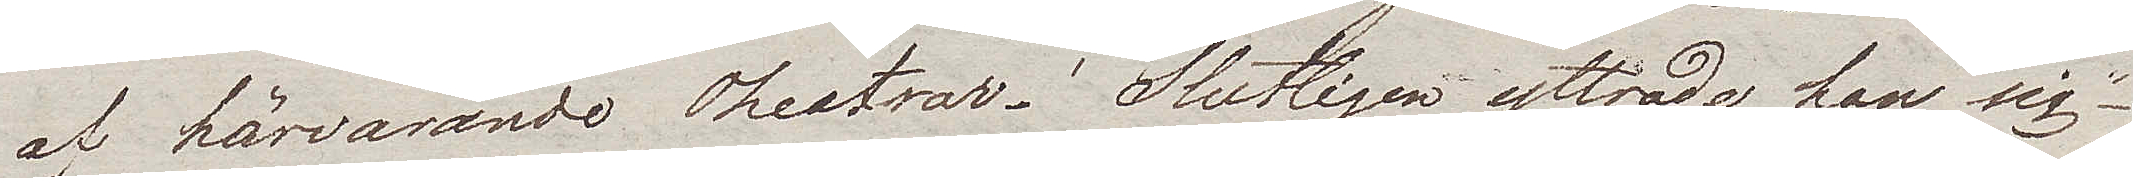af härvarande Theatrar. Slutligen yttrade han sig –
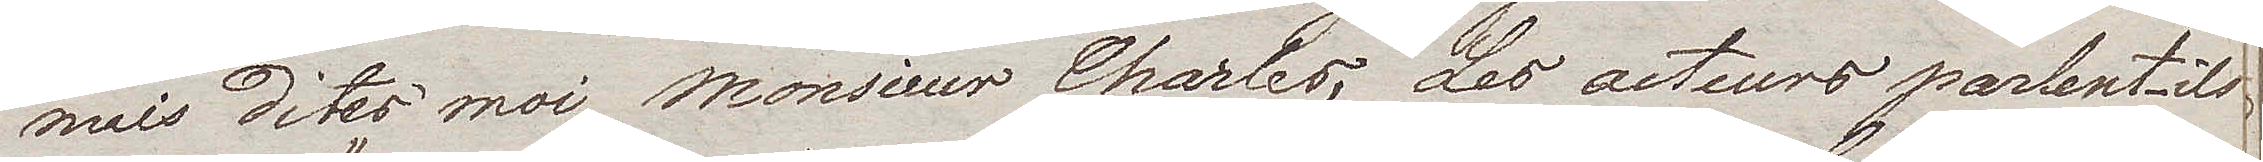"mais dites moi Monsieur Charles, Les acteurs parlent-ils
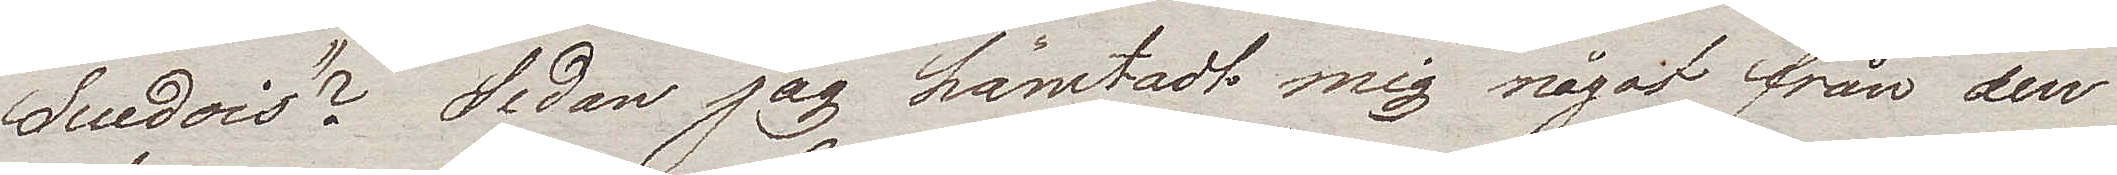Suedois?". Sedan jag hämtadt mig något från den
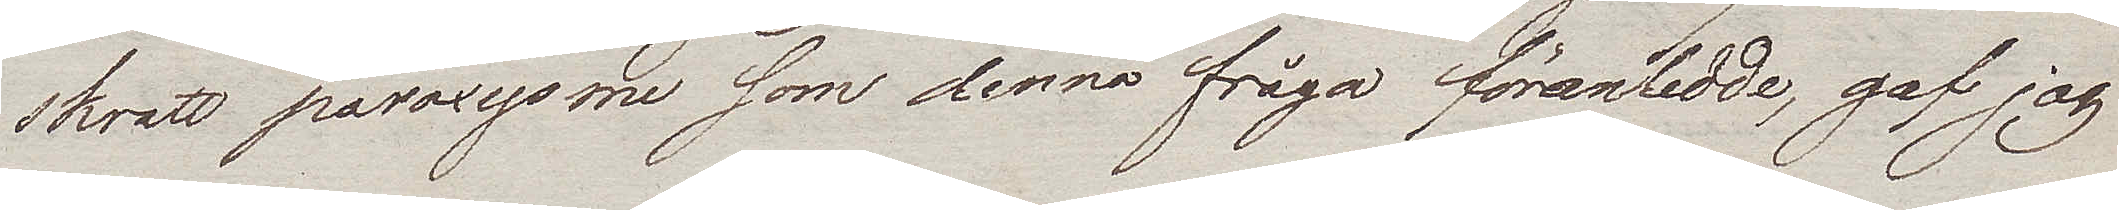skratt paroxysme som denna fråga föranledde, gaf jag
